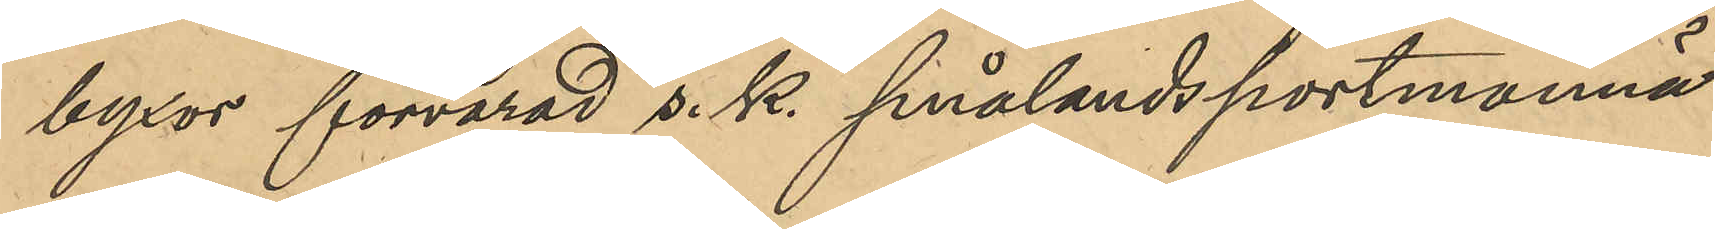byxor förvarad s. k. smålandsportmonnä
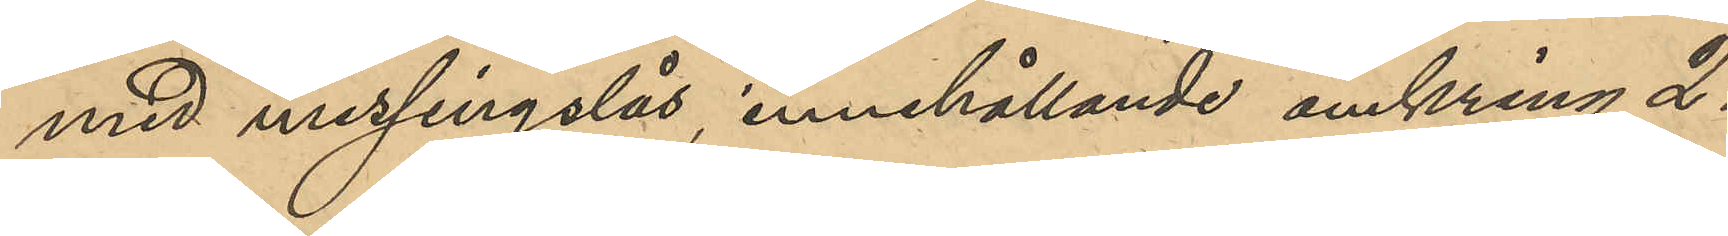med messingslås, innehållande omkring 21
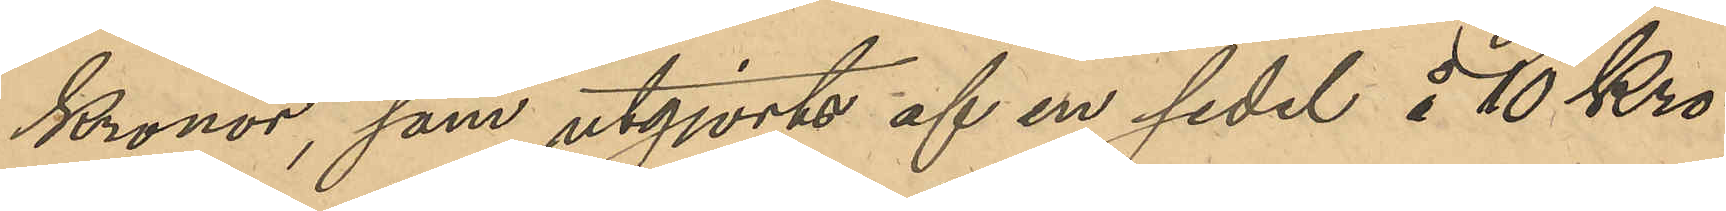Kronor, som utgjorts af en sedel å 10 Kro¬
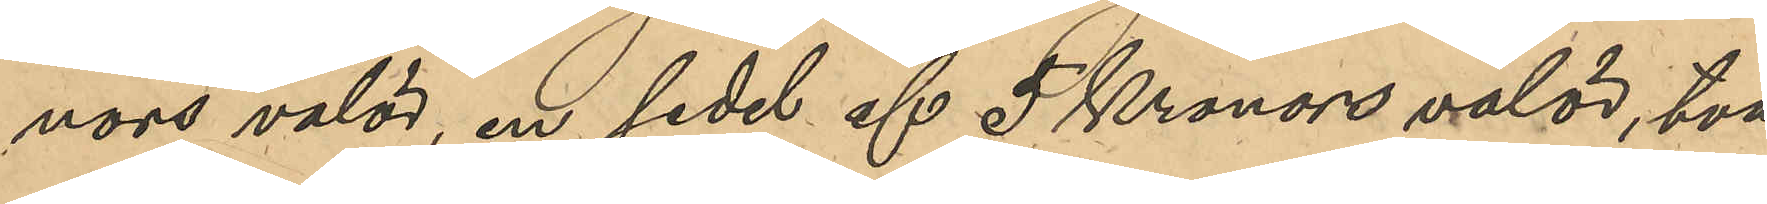nors valör, en sedel af 5 Kronors valör, två
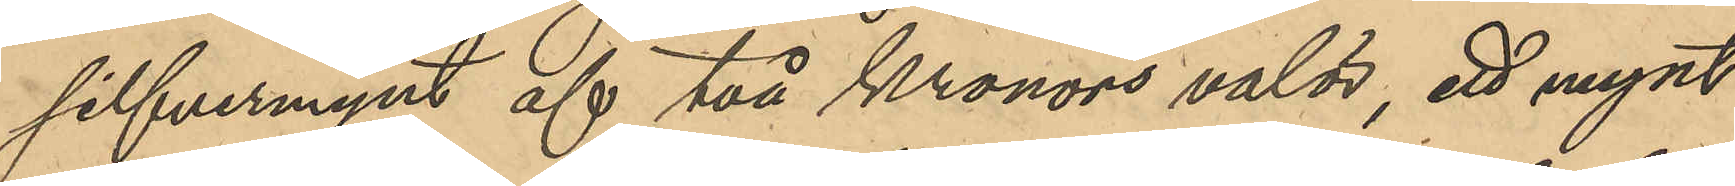silfvermynt af 2 Kronors valör, ett mynt
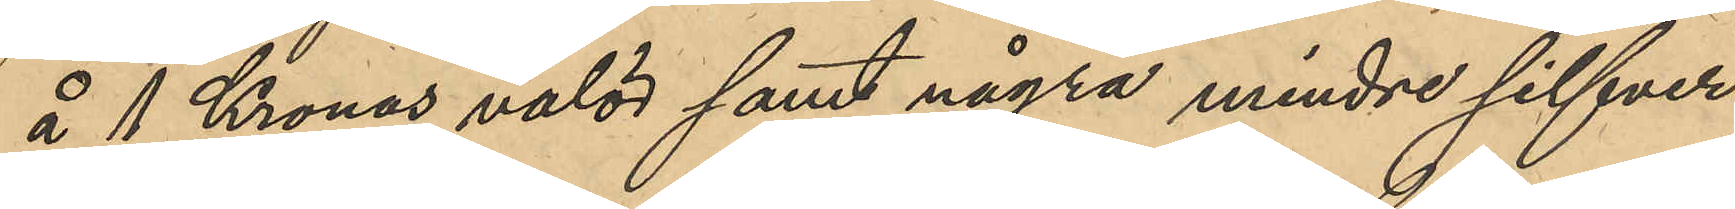å 1 Kronas valör samt några mindre silfver
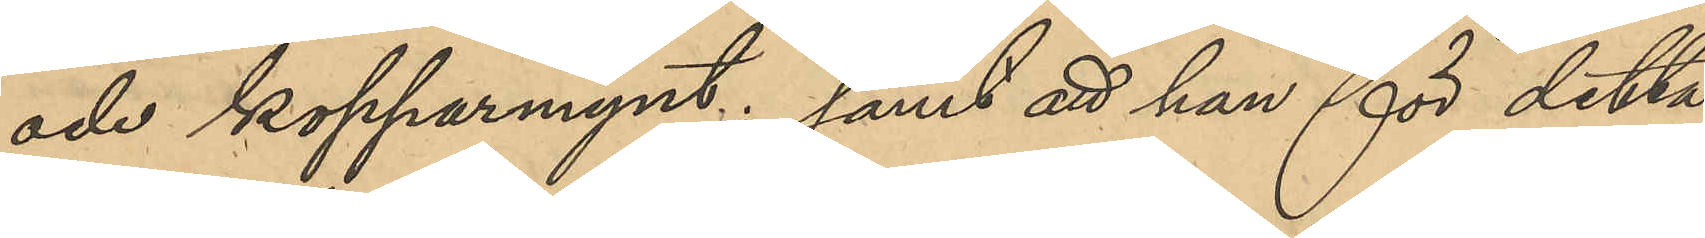och kopparmynt; samt att han för detta
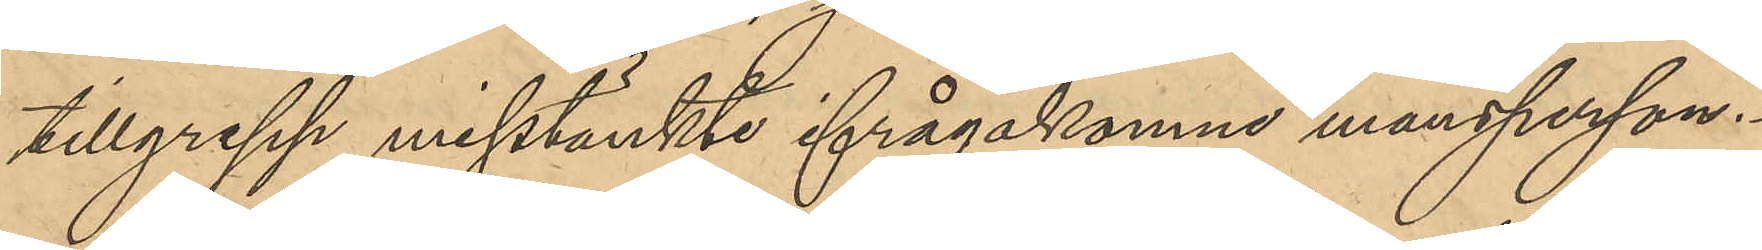tillgrepp misstänkte ifrågakomne mansperson.
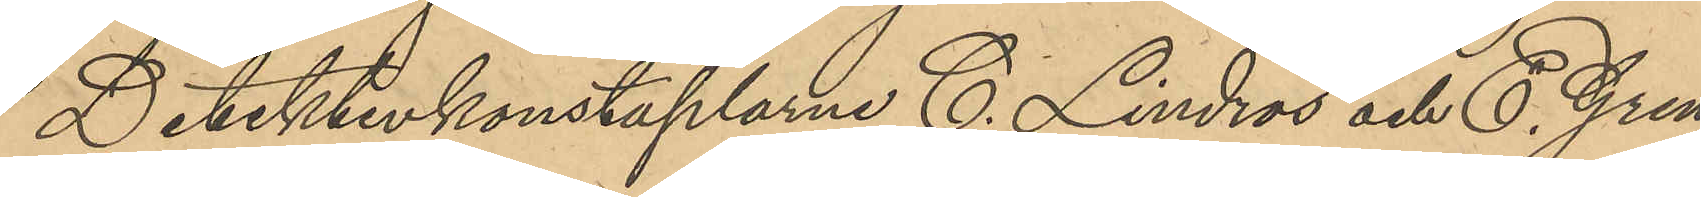Detektivkonstaplarne C. Lindros och E. Gren
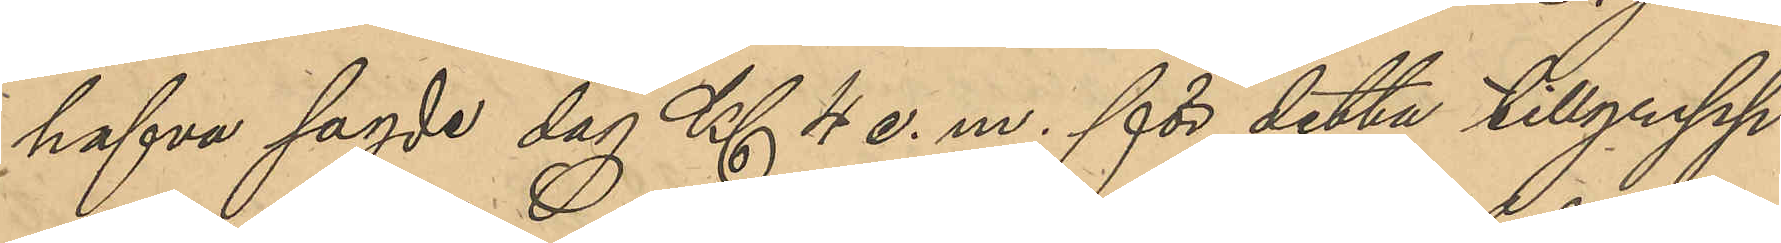hafva sagde dag Kl 4 e. m. för detta tillgrepp
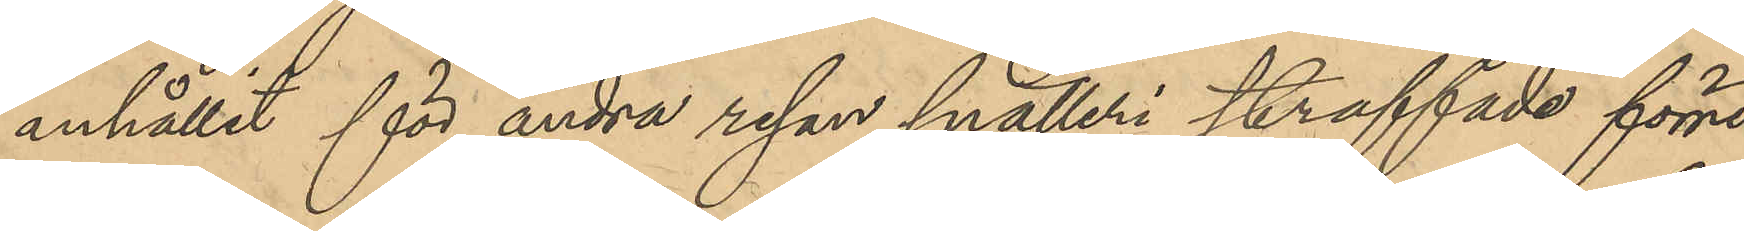anhållit för andra resan snatteri straffade förre
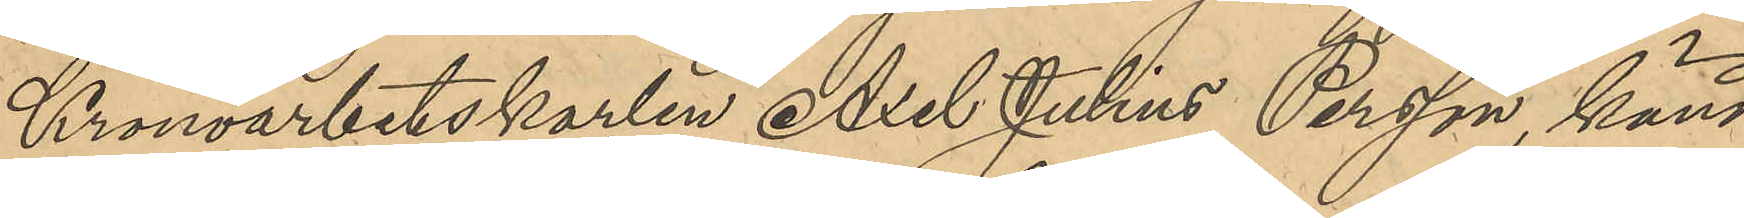Kronoarbetskarlen Axel Julius Persson, känd
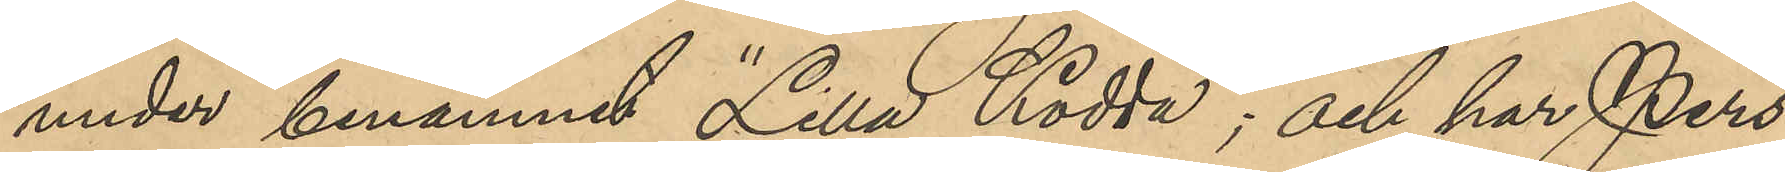under binamnet "Lilla Kodda"; och har Pers¬
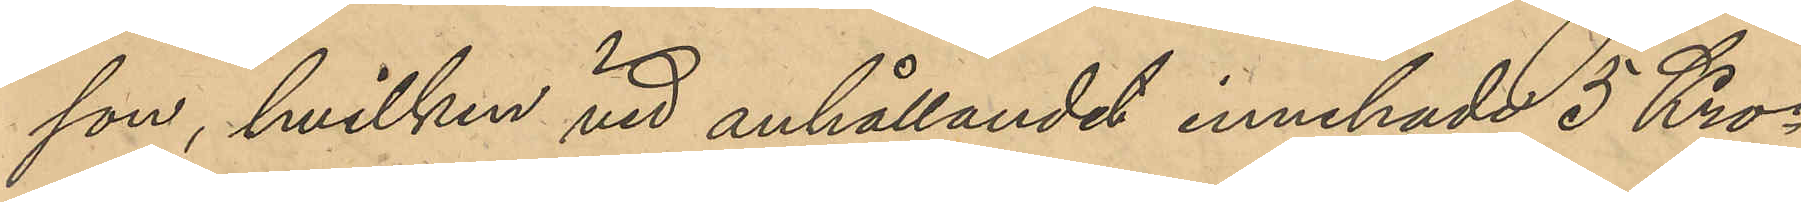son, hvilken vid anhållandet innehade 5 Kro¬
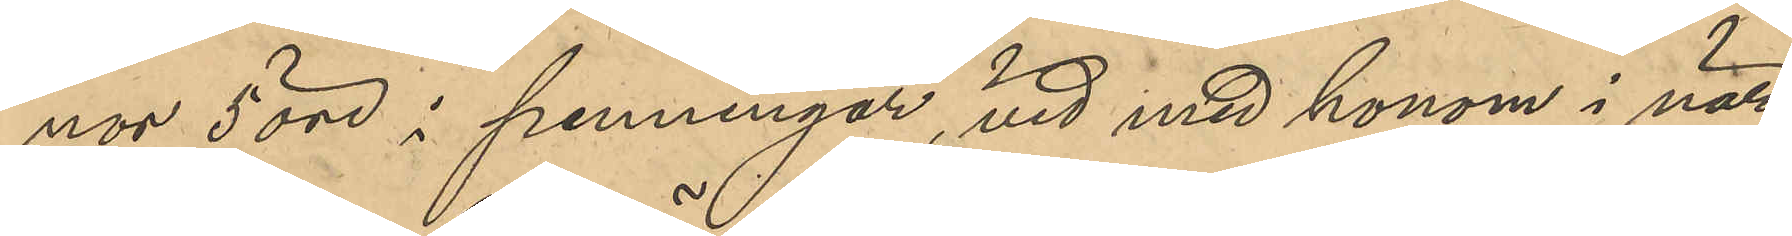nor 5 öre i penningar, vid med honom i när¬
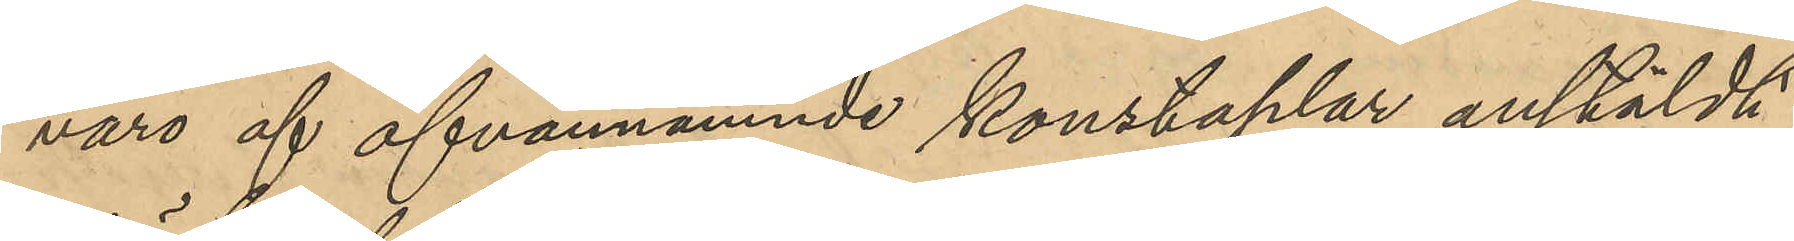varo af ofvannämnde konstaplar anstäldt
